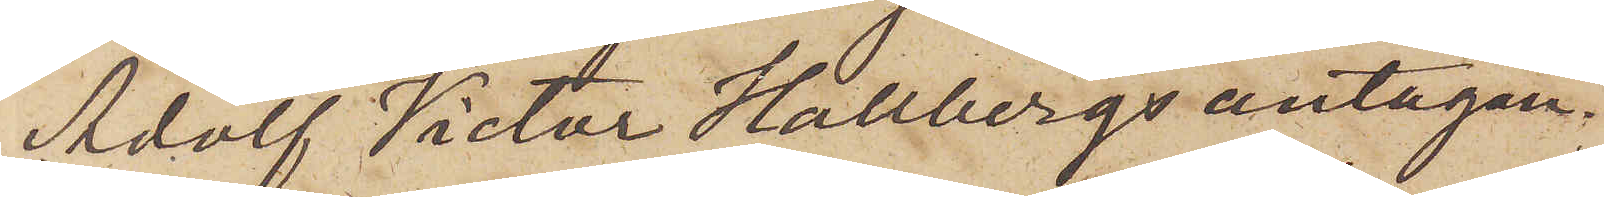Adolf Victor Hallbergs antagan¬
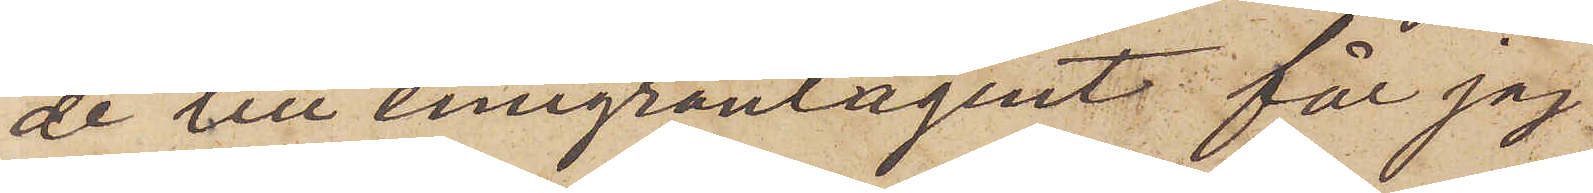de till emigrantagent får jag
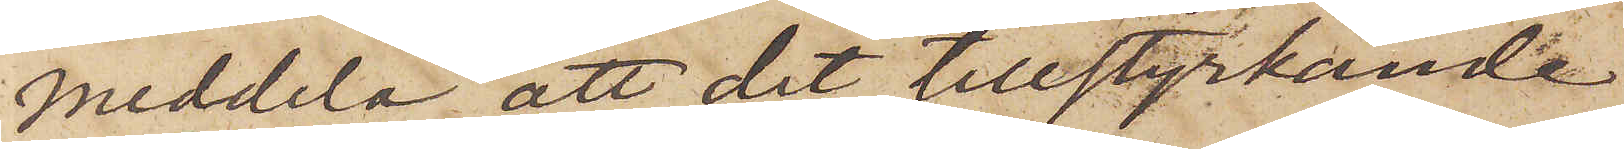meddela, att det tillstyrkande
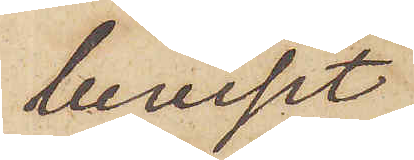beviset
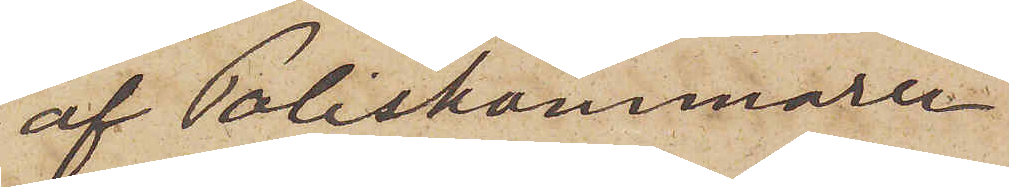af Poliskammaren
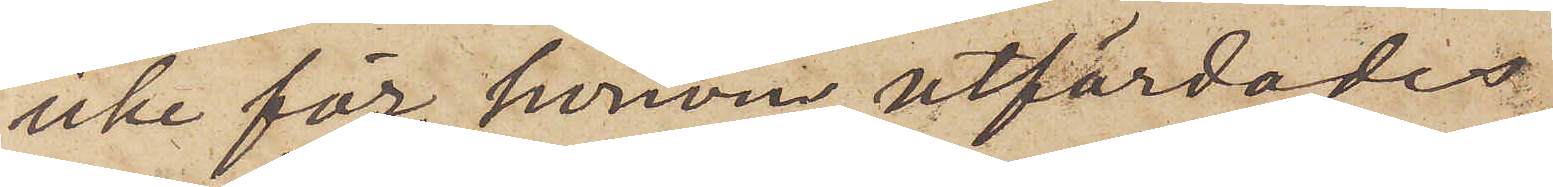icke för honom utfärdades,
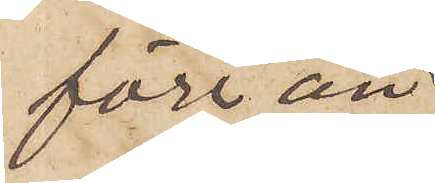förr än
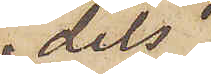dels
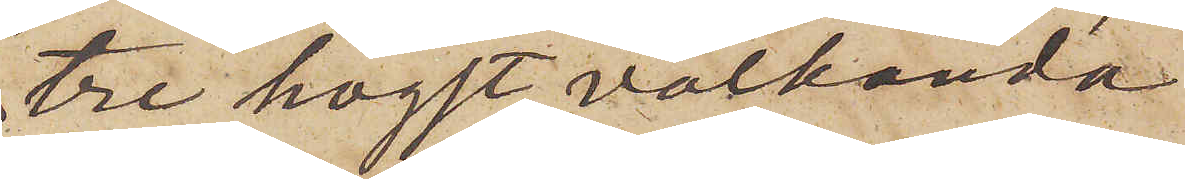tre högst välkända
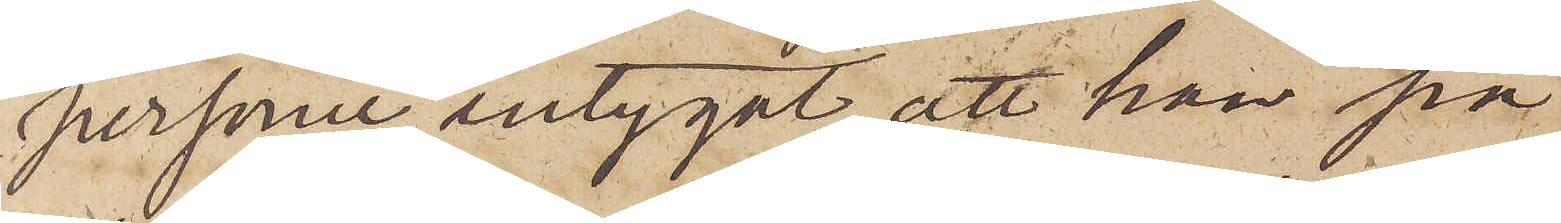personer intygat, att han på
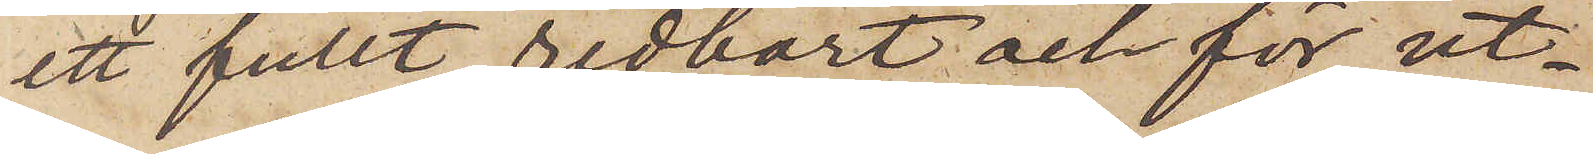ett fullt redbart och för ut¬
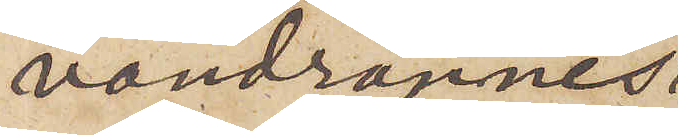vandrarnes
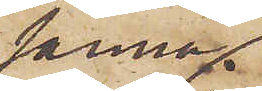sanna
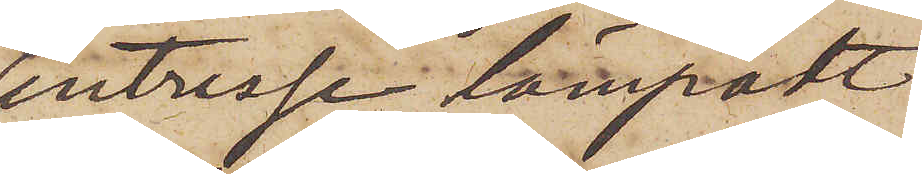intresse lämpadt
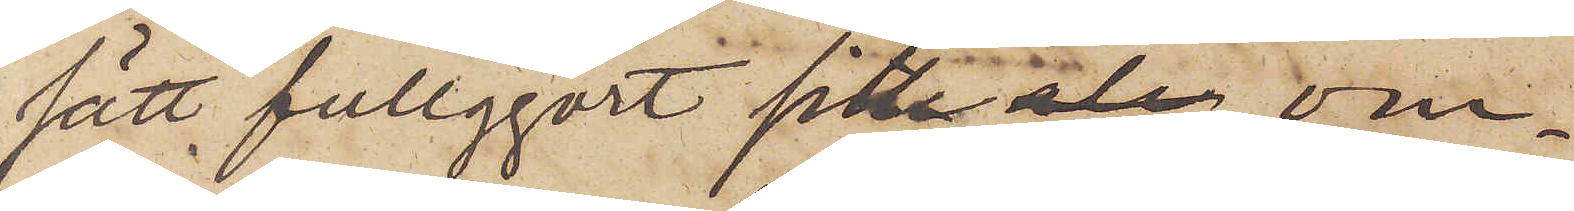sätt fullgjort sitt om¬
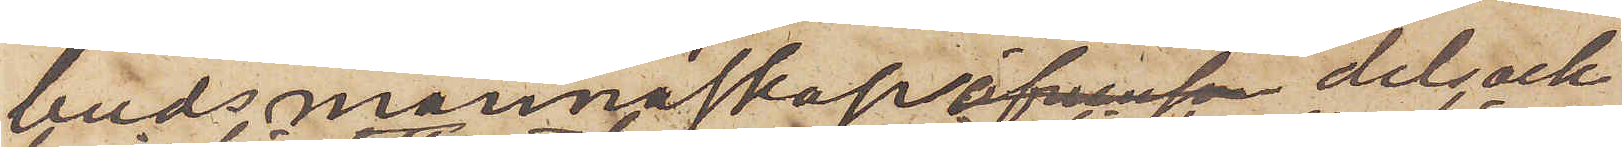budsmannaskap, dels ock
